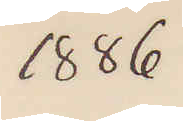1886
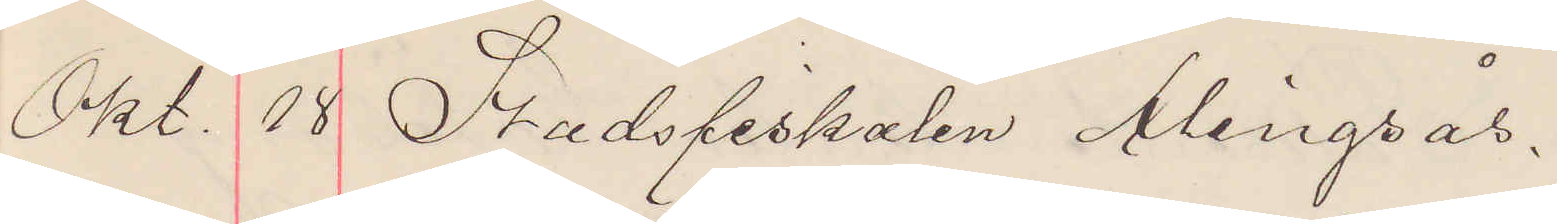Okt. 18 Stadsfiskalen Alingsås.
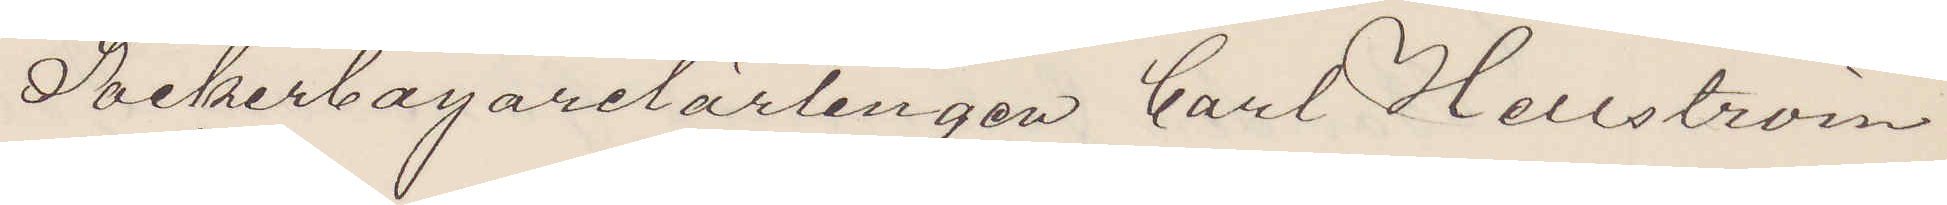Sockerbagarelärlingen Carl Hellström
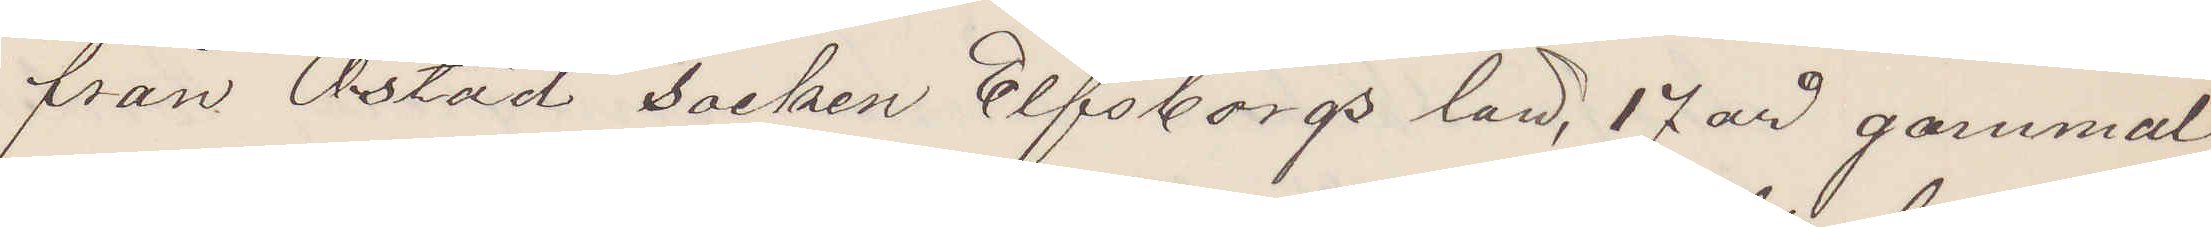från Östad Socken Elfsborgs län, 17 år gammal,
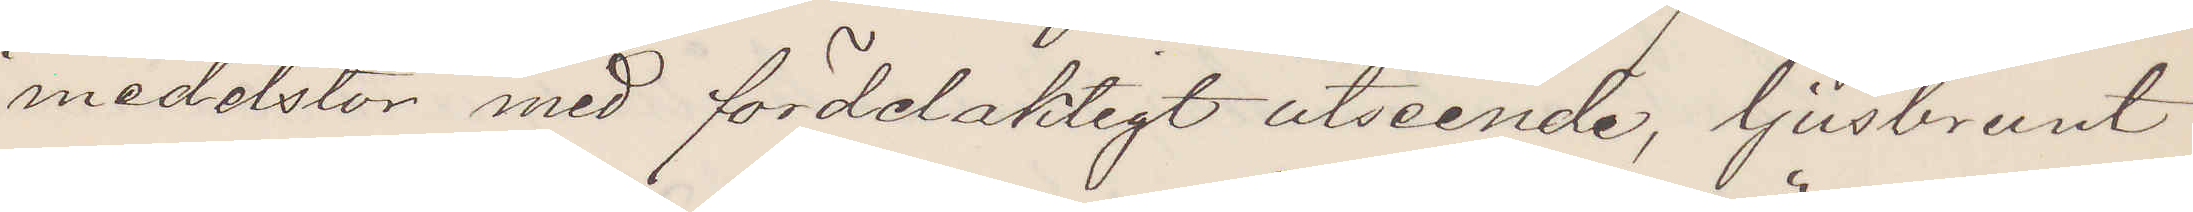medelstor med fördelaktigt åtseende, ljusbrunt
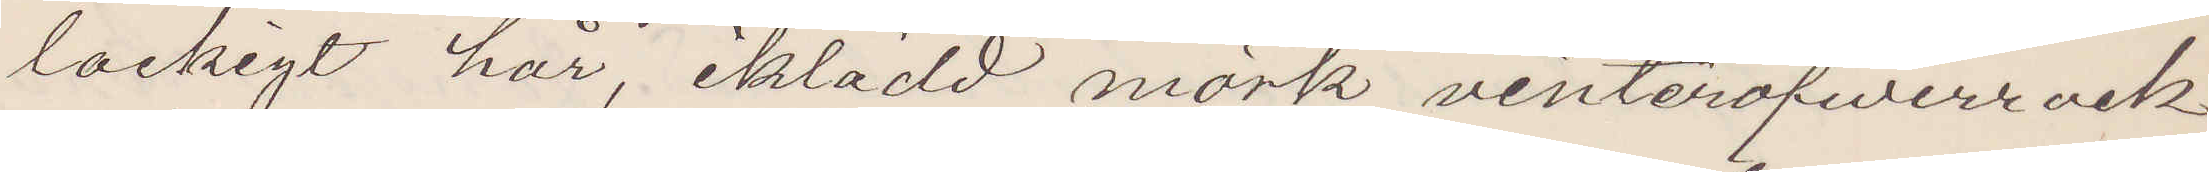lockigt hår, iklädd mörk vinteröfwerrock
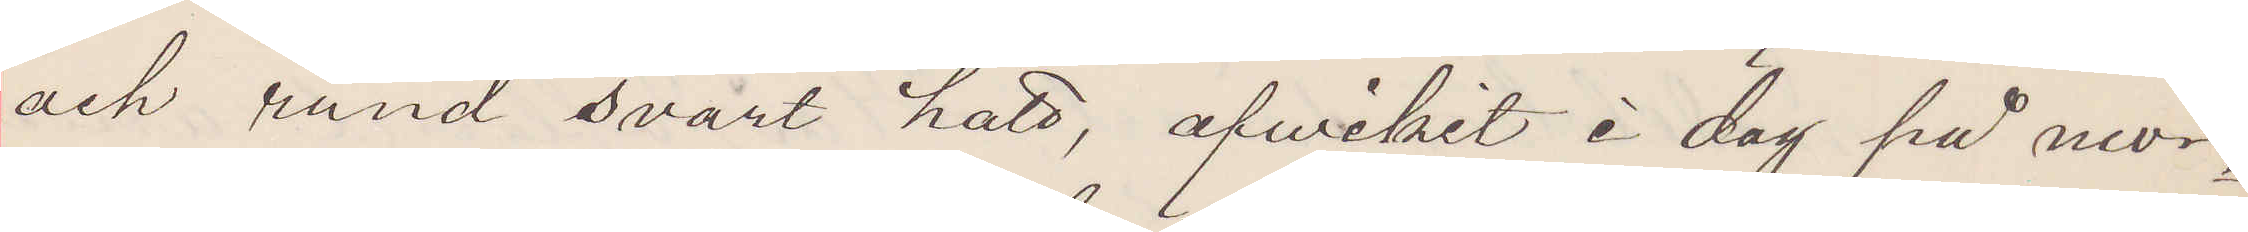och rund svart hatt, afvikit i dag på morg¬
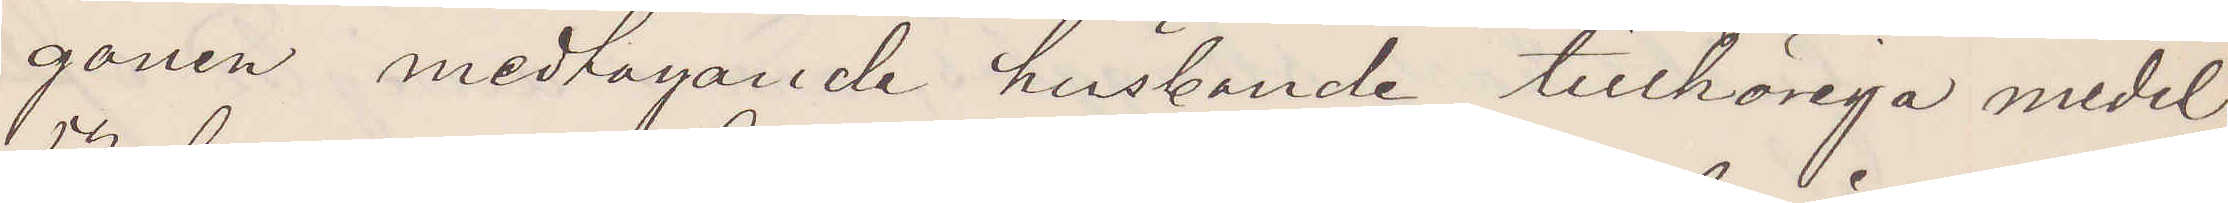gonen medtagande husbonde tillhöriga medel
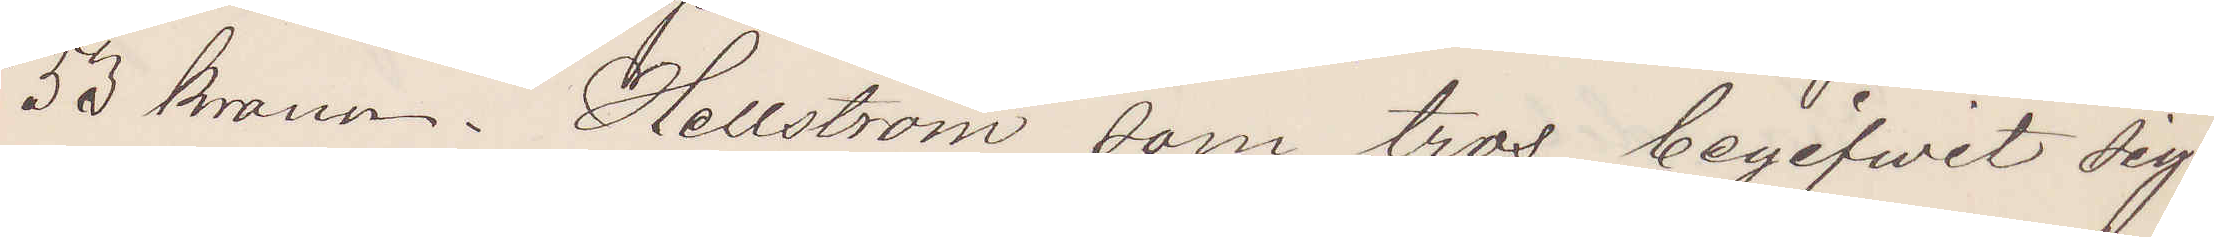53 kronor. Hellström som tros begifvit sig
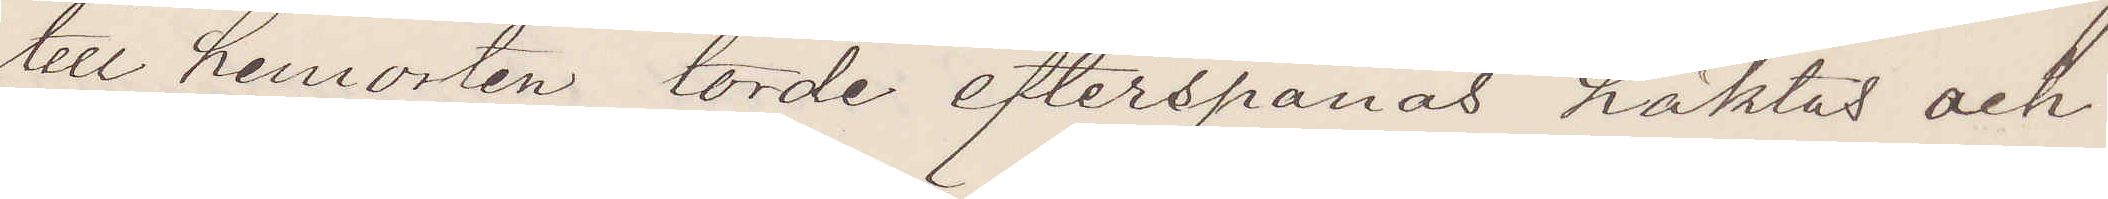till hemorten torde efterspanas häktas och
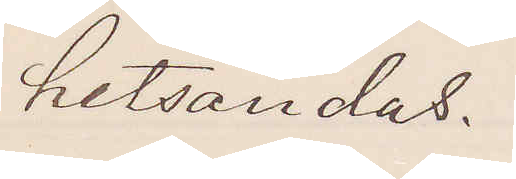hitsändas.
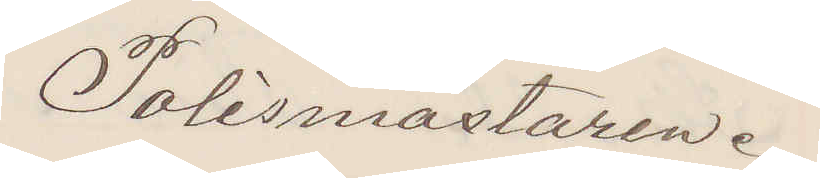Polismästaren.
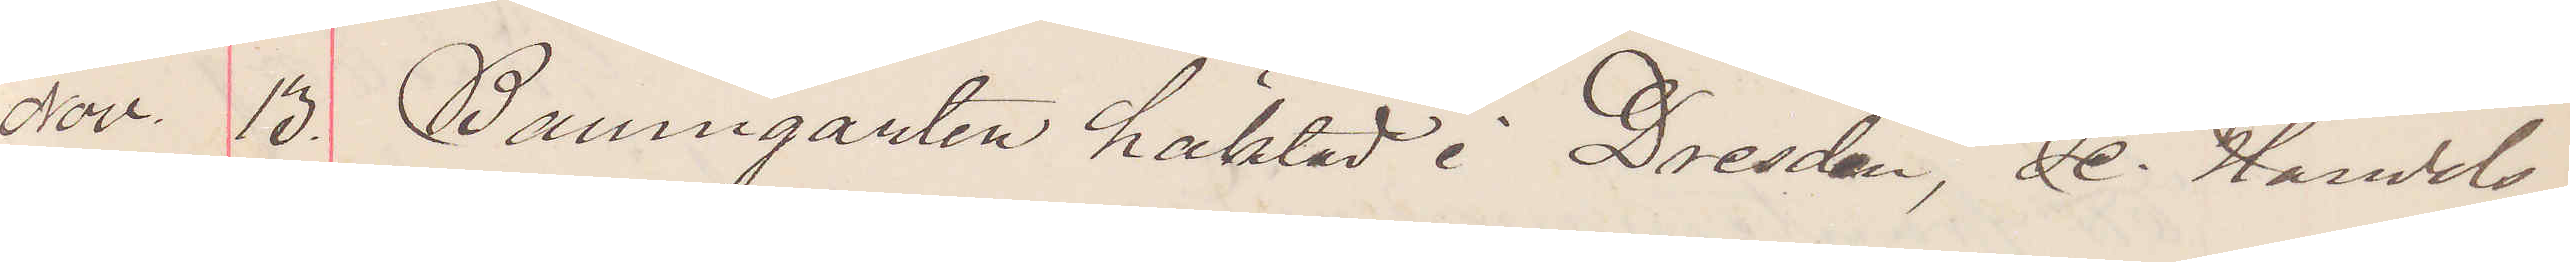Nov. 13. Baumgarten häktad i Dresden, se Handels¬
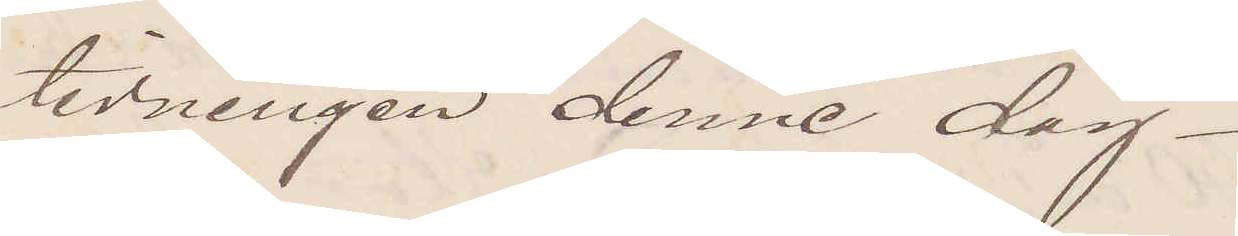tidningen denne dag.
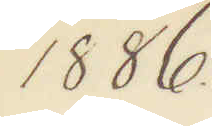1886.
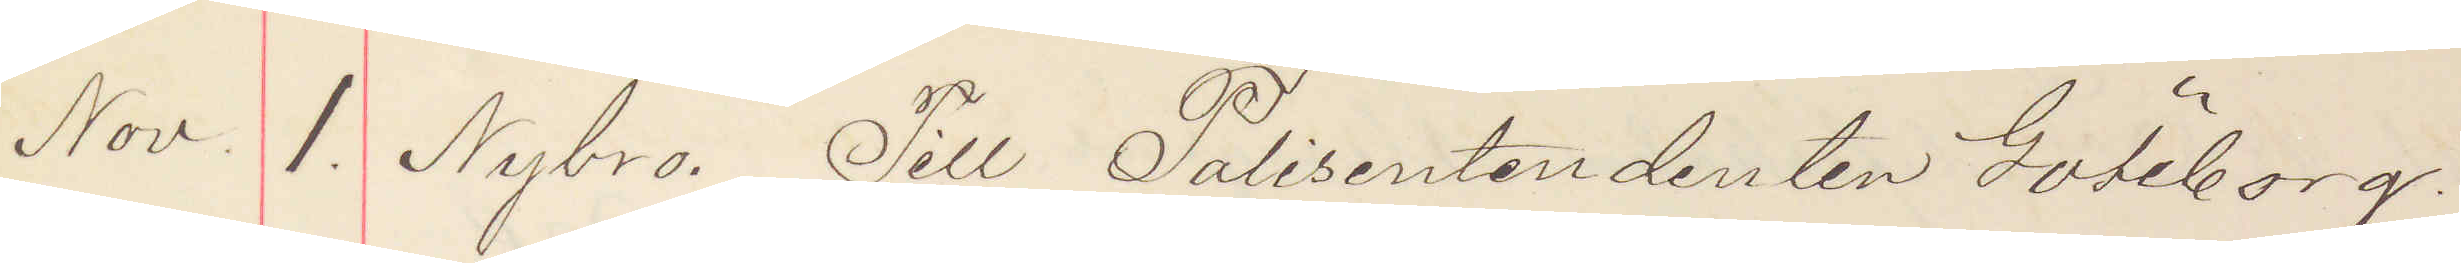Nov. 1. Nybro. Till Polisentendenten Göteborg.
